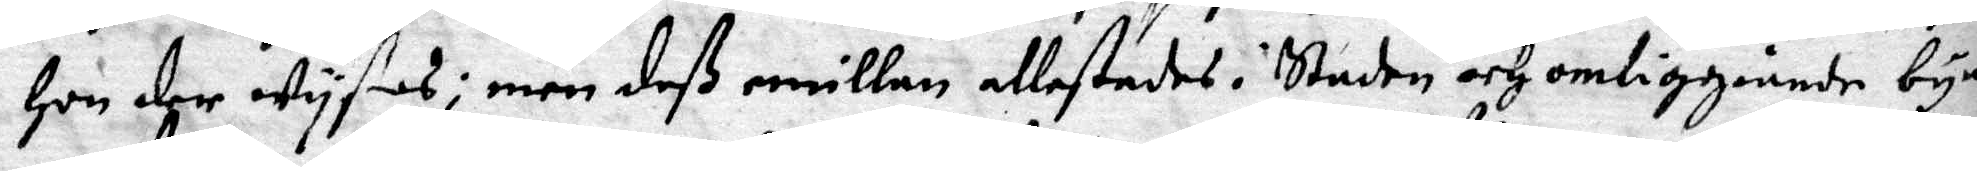Hon der wyses; men deß emillan allestedes i Staden och omliggiande nyar
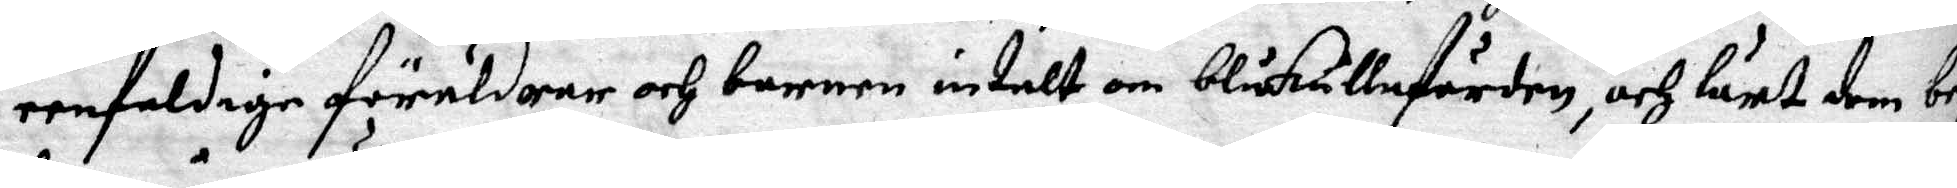eenfaldige föräldrar och barnen intalt om blåkullafärden, och lurt dem be
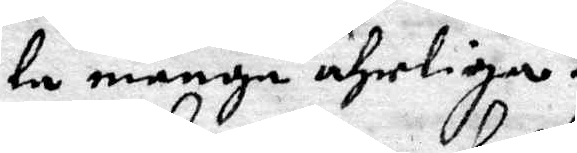la många ährliga.
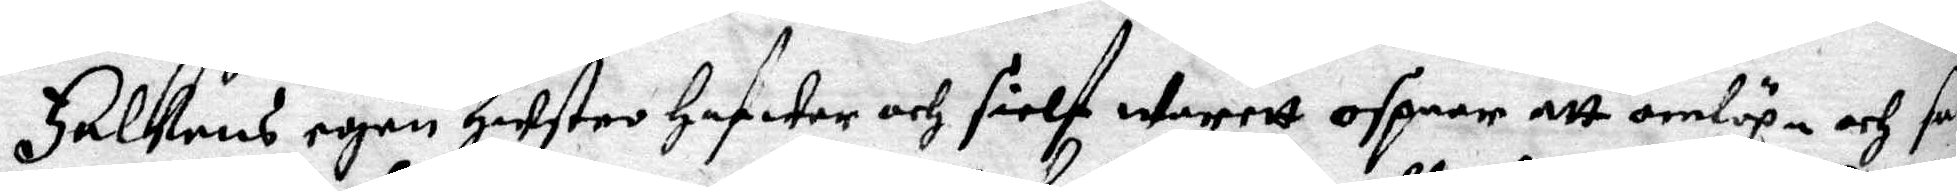Falkens egen Hustro Hafwer och sielf warett ospner att omlöpa och sam¬
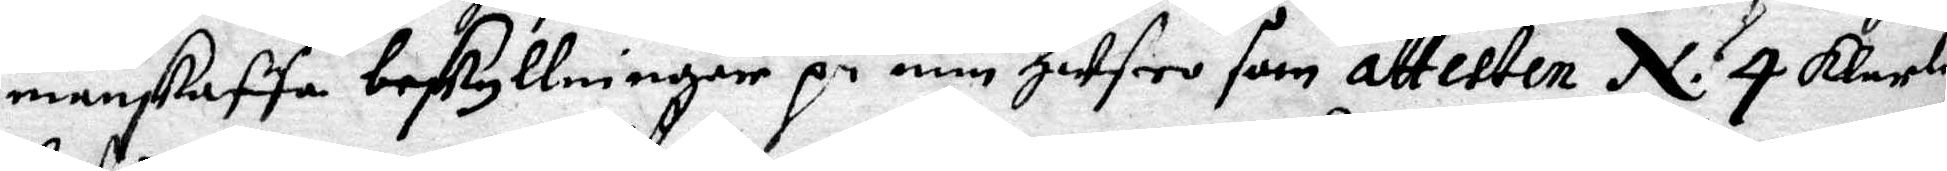manskaffa beskyllninger på min Hustro som attesten N; 4 klarlig
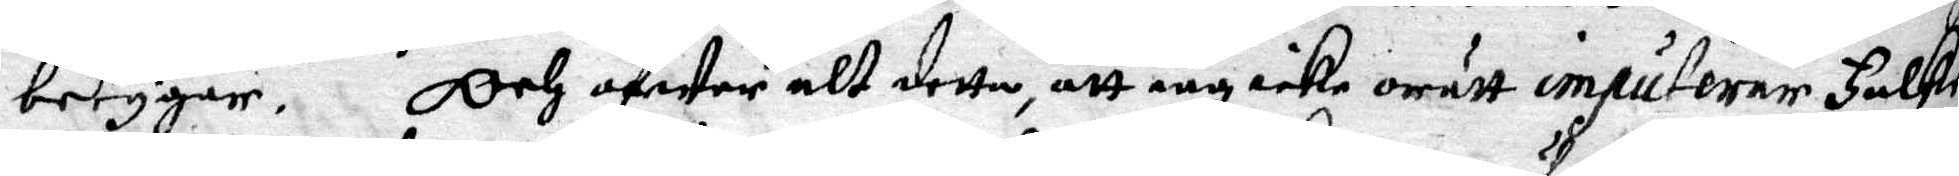betygar. Och äfwen alt detta, att iag icke orätt impuferar Falke
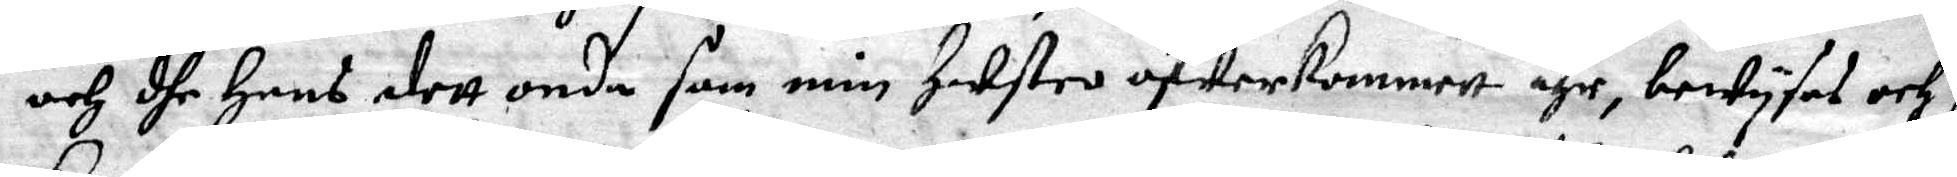och dhe Hans dett onda som min Hustro öfwerkommett ähr, bewyses och fr
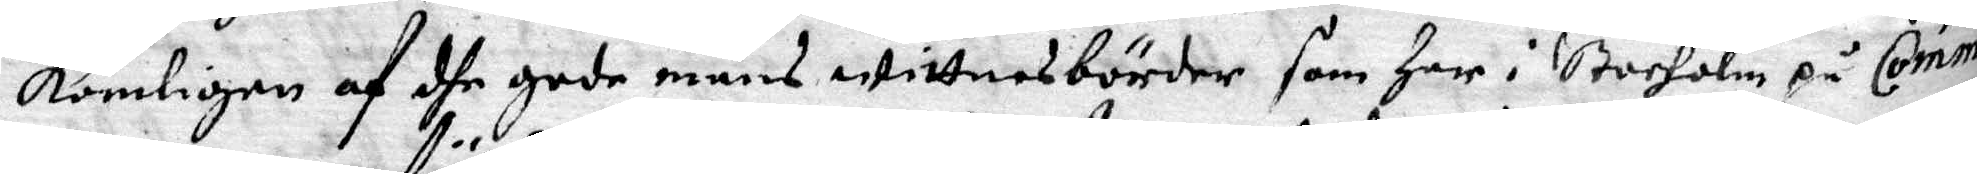kommligen af dhe gode mäns wittnesbörder som Her i Stocholm på Commi¬
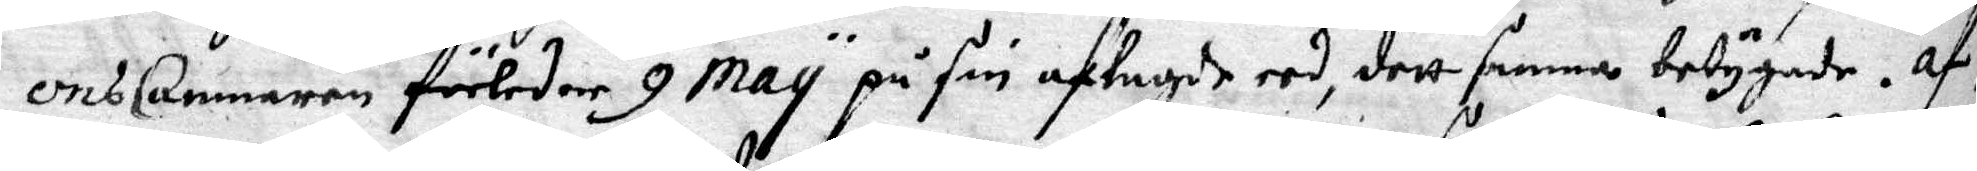onsCammaren förleden 9 May på sin aflagde eed, dett samma betygade. Af 
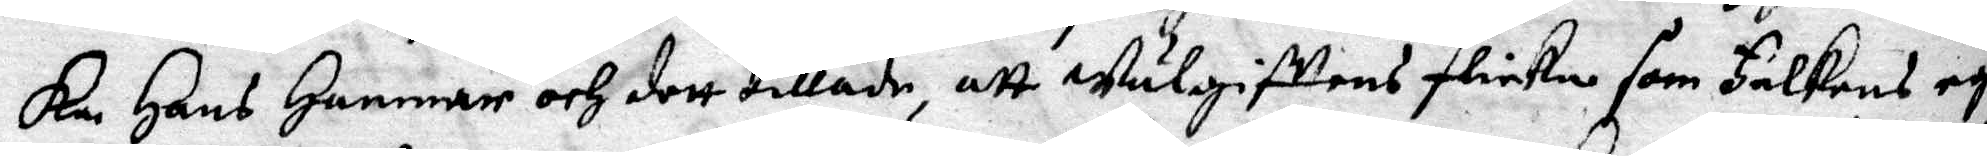kan Hans Hammar och dett tillade, att wälgifttens flicka som Falkend egen
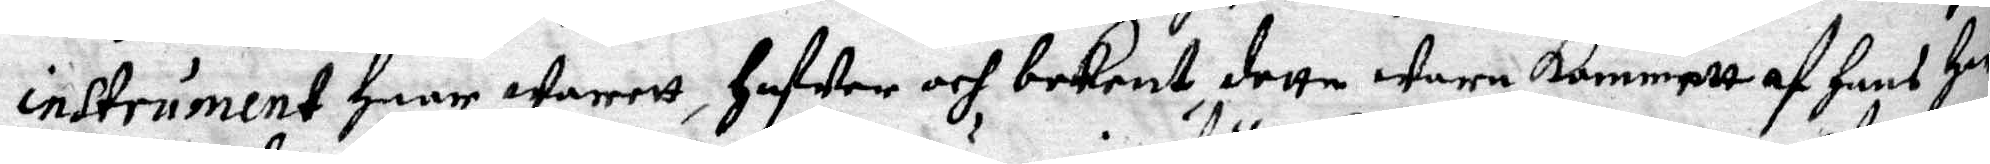instrument Haar warett, Hafwer och bekent detta wara kommett af Hans Her
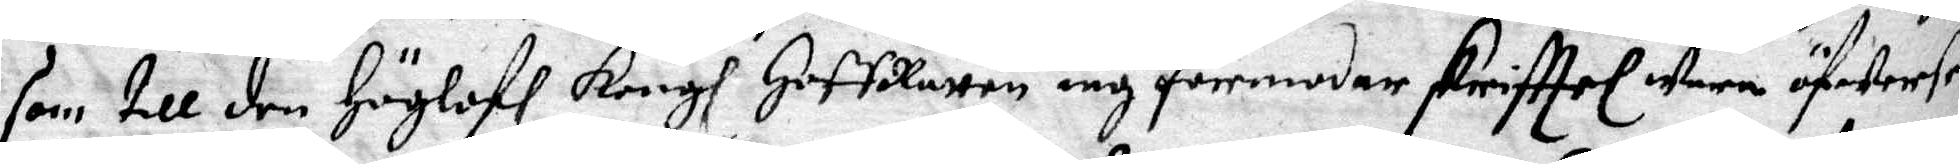som till den Höglofl Kongl HoffRätten iag förrmodar skrifttel wara ofwerse
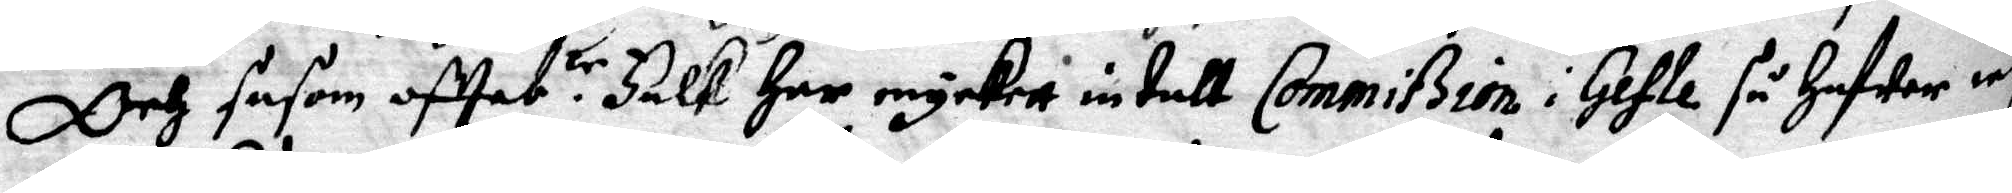Och såsom offeb.te Falk Har myckerr intalt Commißion i Gefle så Hafwer iag
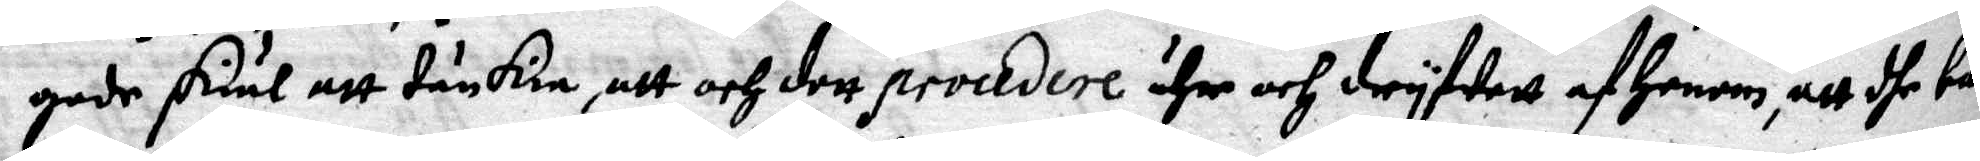gode skiäl att tänkia, att och dett procedere ähr och dryfwett af Honom, att dhe bar
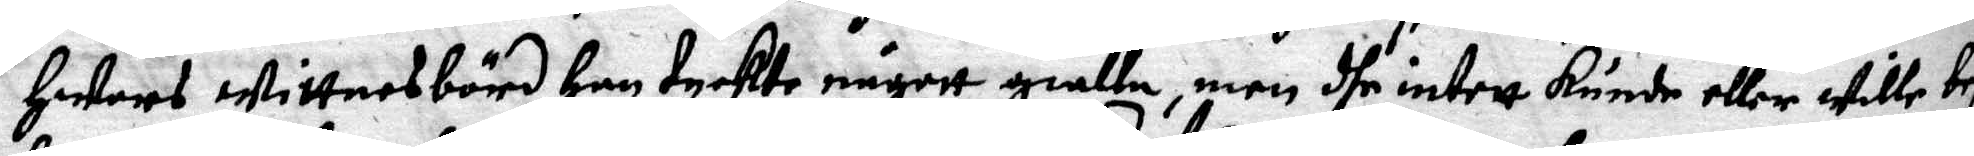Hwars wittnesbörd Han tyckte någott giälla, men dhe intett kunde eller wille be
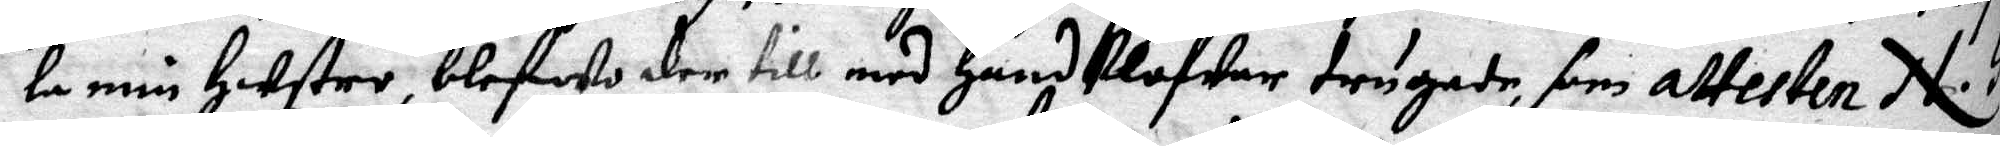la min Hustro, blefwo der till med Handklofwar trugade, som attesten N. 5
